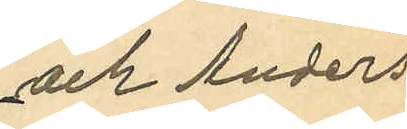och Anders
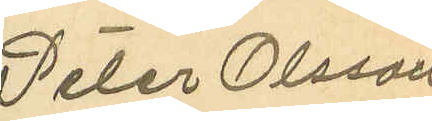Peter Olsson
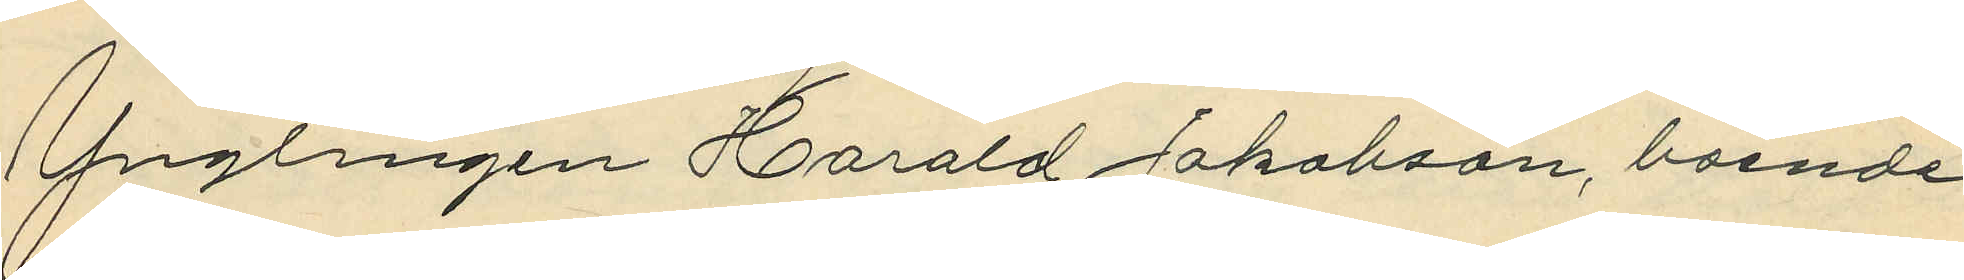Ynglingen Harald Jakobson, boende
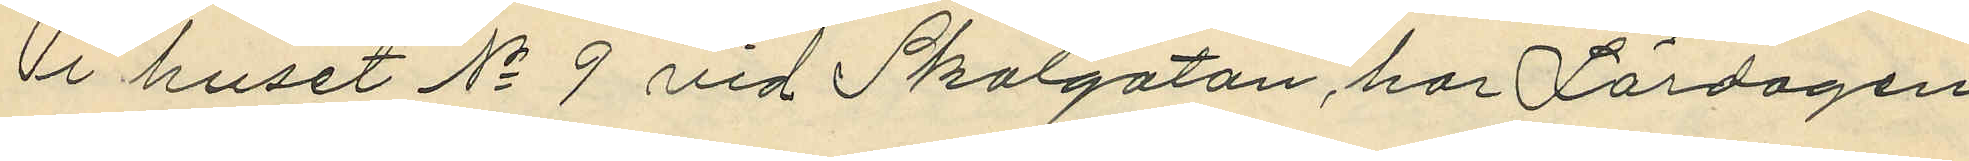 i huset No 9 vid Skolgatan, har Lördagen
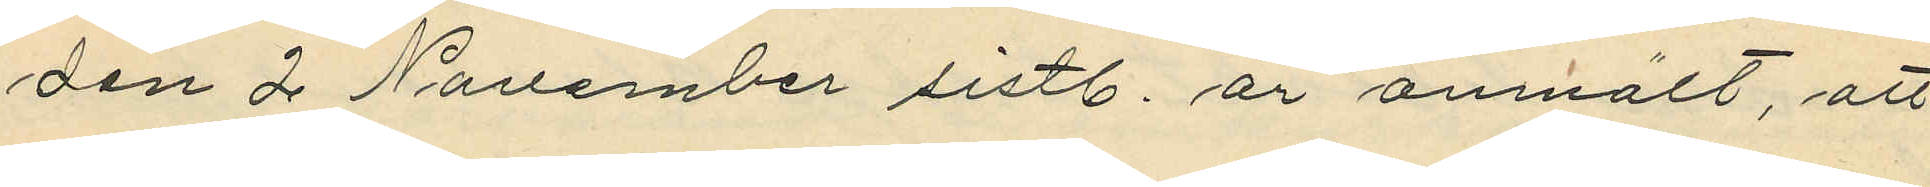den 2 November sistl. år anmält, att
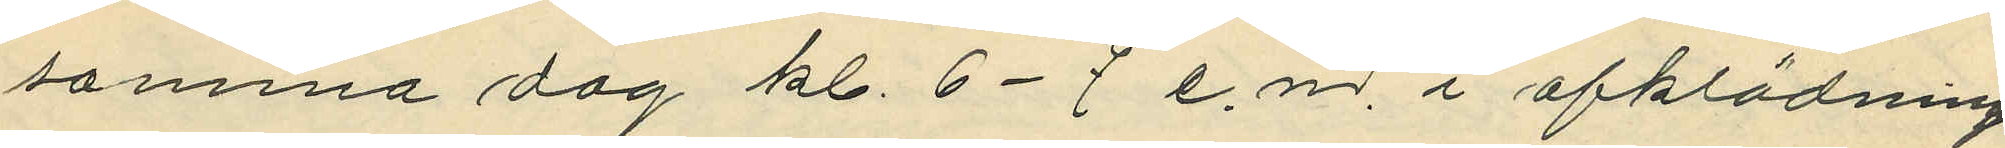samma dag kl. 6-7 e. m. i afklädnings¬
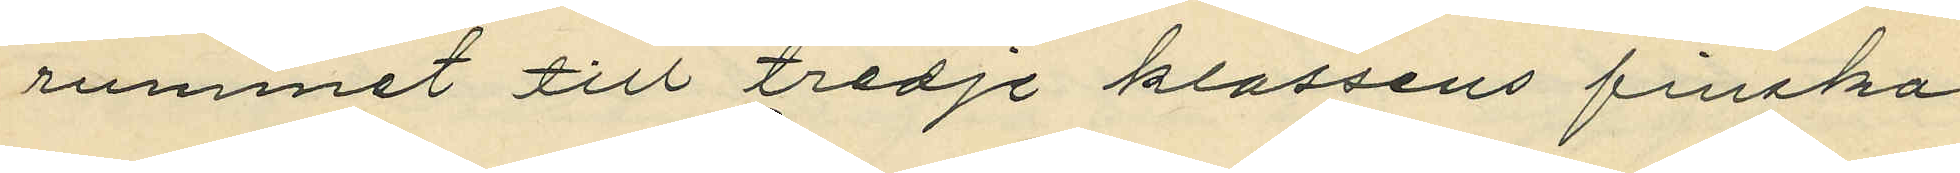rummet till tredje klassens finska
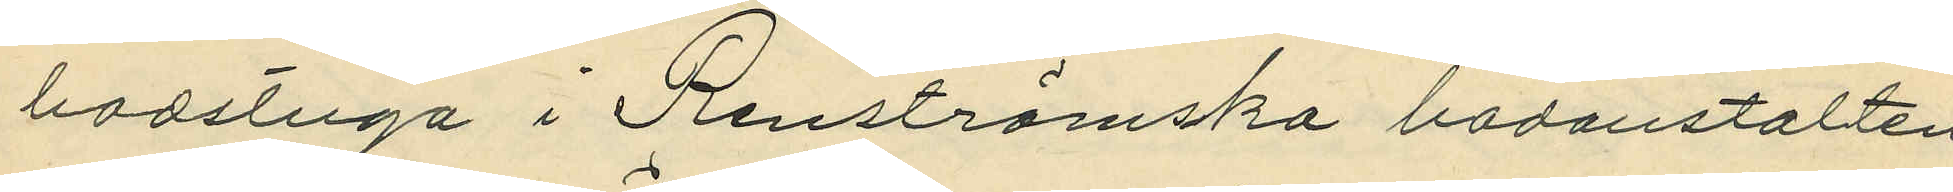badtuga i Renströmska badanstalten
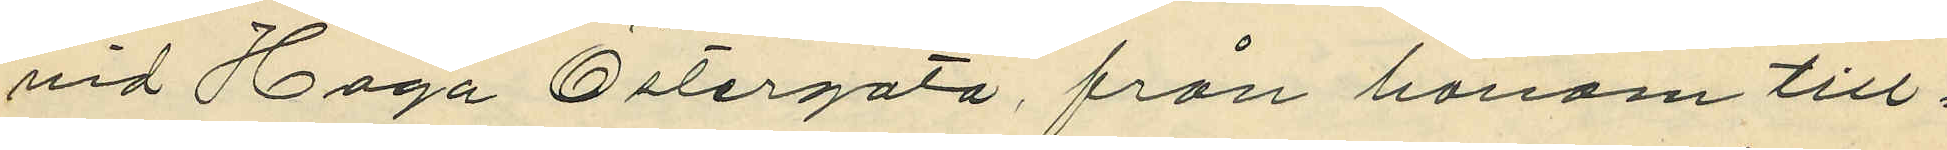vid Haga Östergata från honom till¬
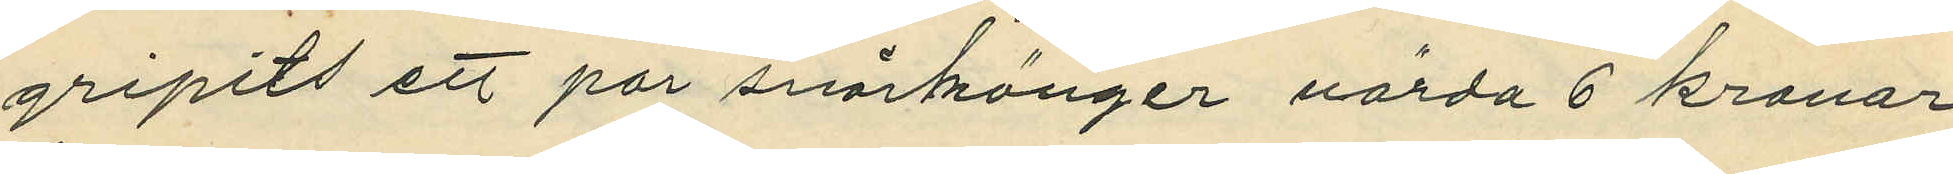gripts ett par snörkängor värda 6 kronor.
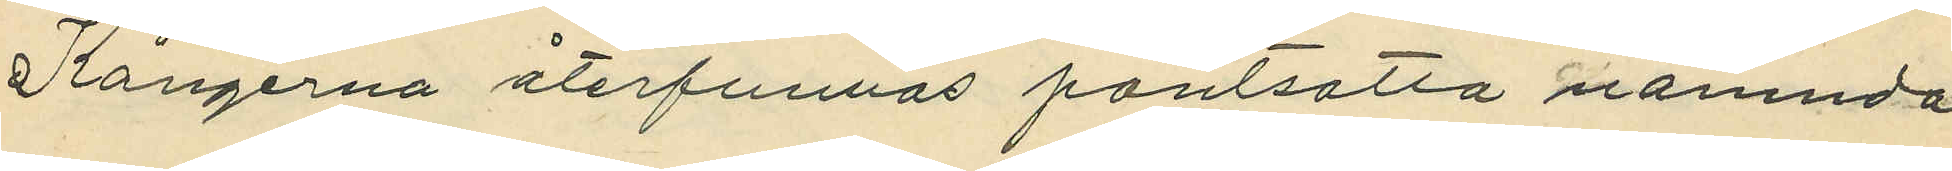Kängerna återfunnos pantsatta nämnda
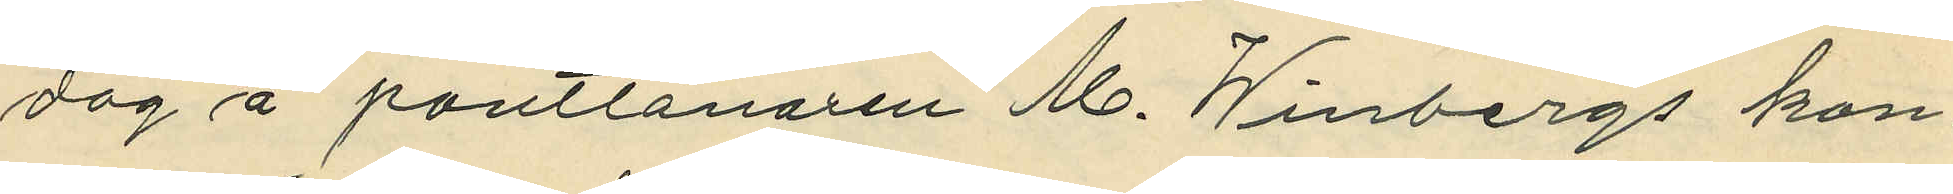dag å pantlånaren M. Winbergs kon¬
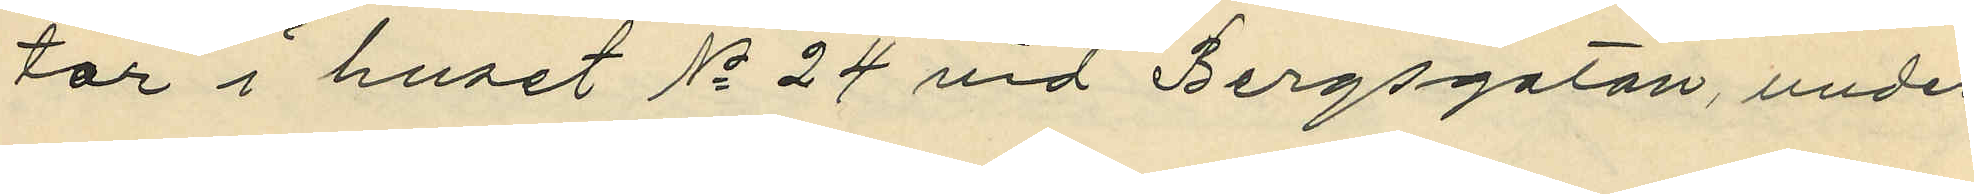tor i huset No 24 vid Bergsgatan, under
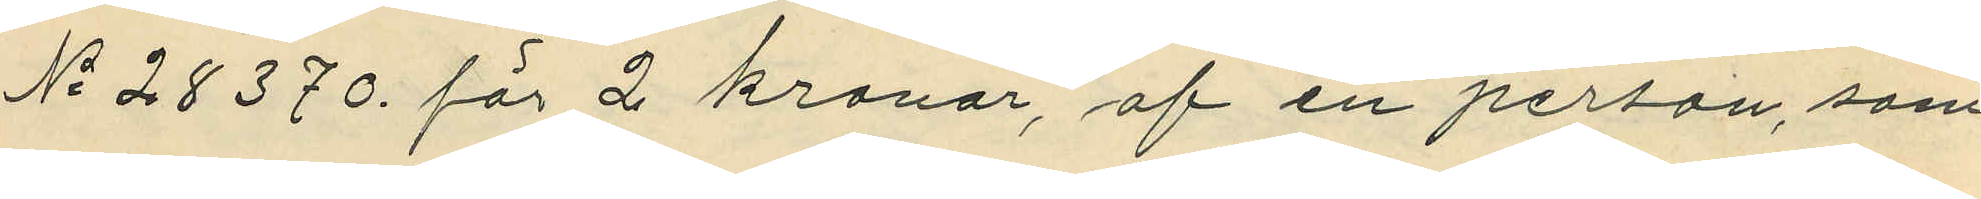No 28370 för 2 kronor, af en person, som 
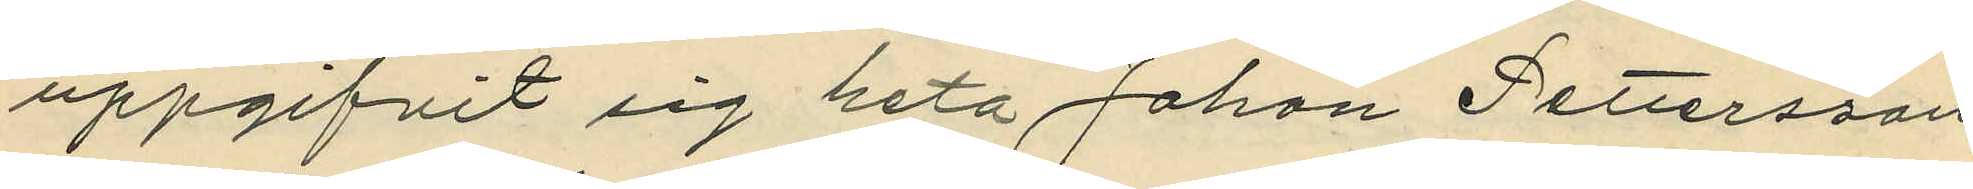uppgifvit sig heta Johan Pettersson
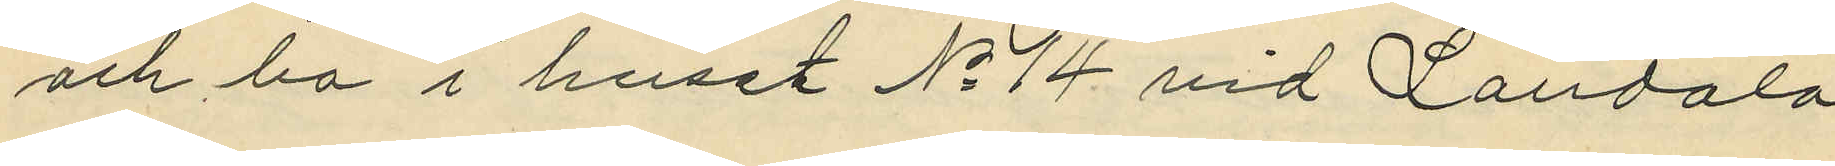och bo i huset No 14 vid Landala
